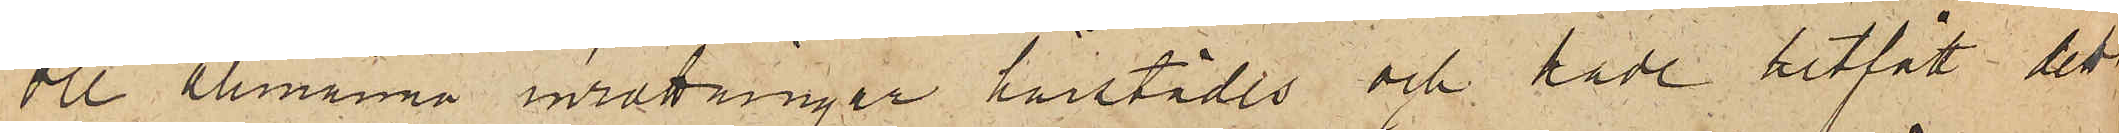de allmänna inrättningar härstädes och hade hitfått ett
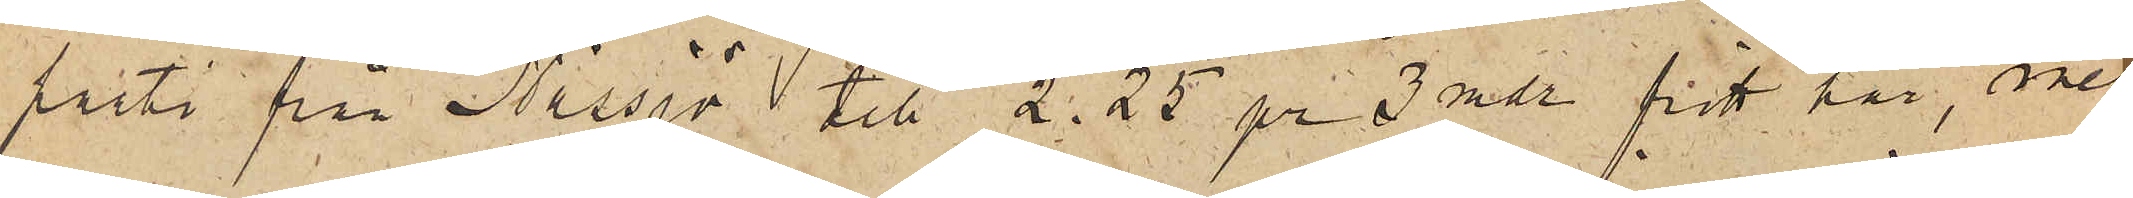parti från Nässjö till 2.25 pr 3 mdr fritt här, men
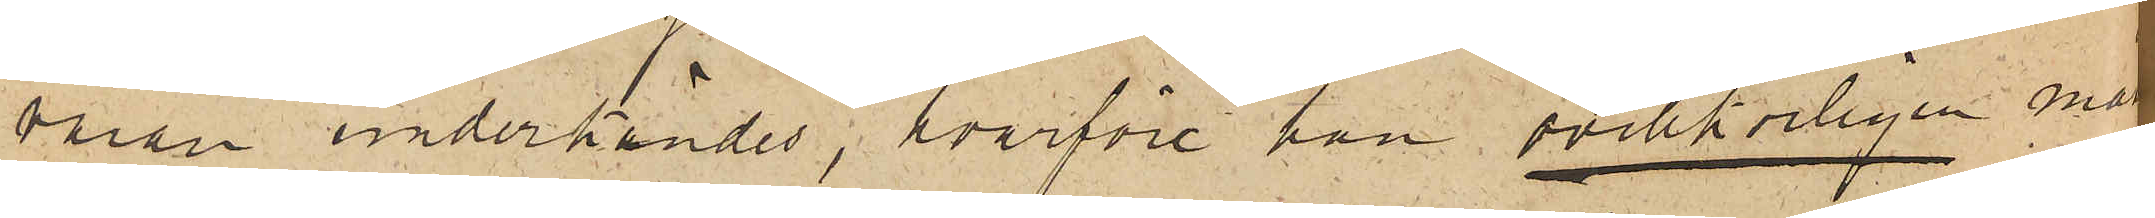varan underkändes, hvarföre han ovillkorligen måste
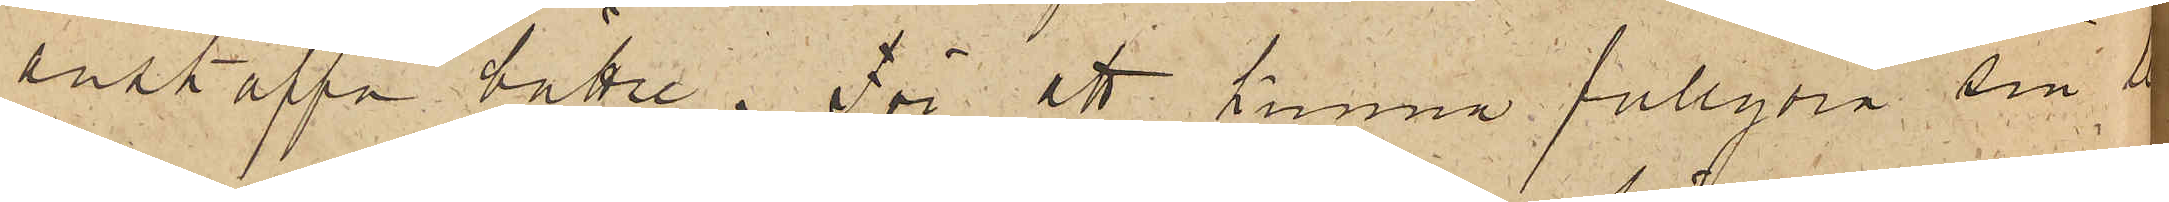anskaffa bättre.  För att kunna fullgöra sin le¬
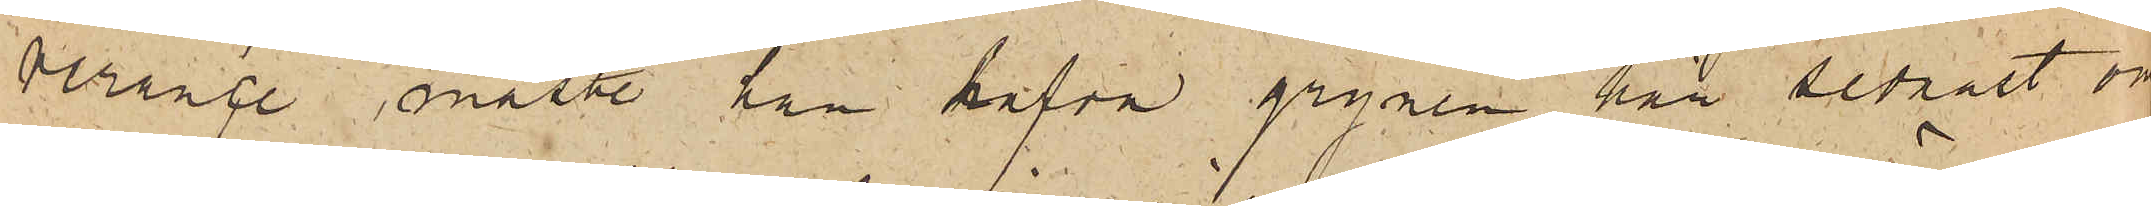verance måste han hafva grynen här sednast om
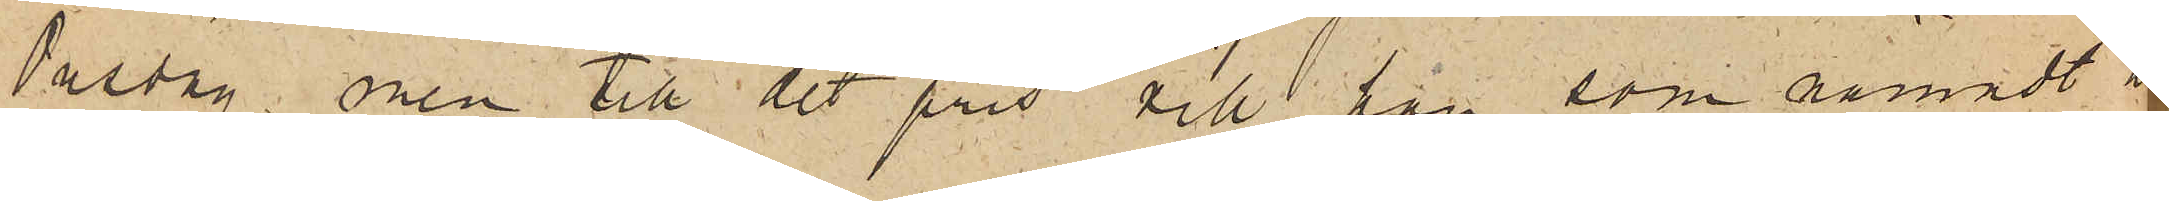Onsdag, men till det pris vill han som nämndt att
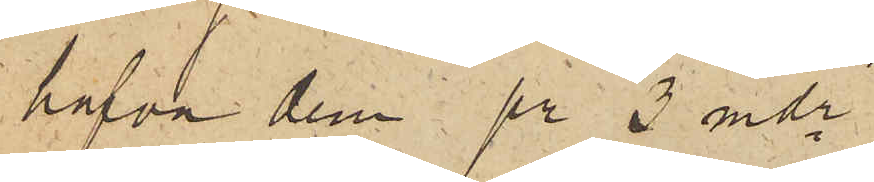hafva dem pr 3 mdr.
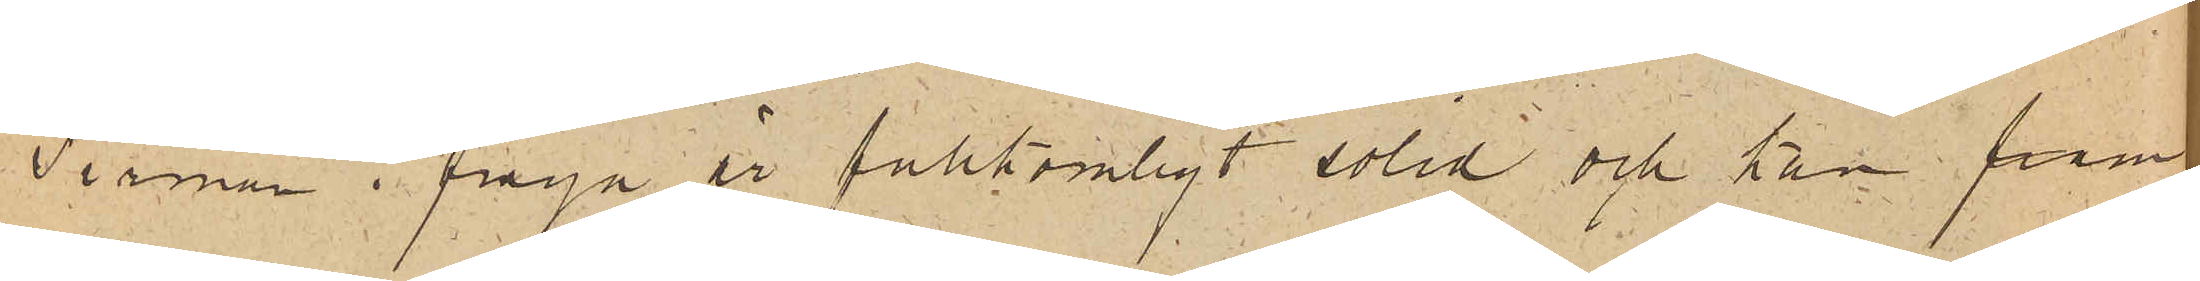Firman i fråga är fullkomligt solid och kan fram¬
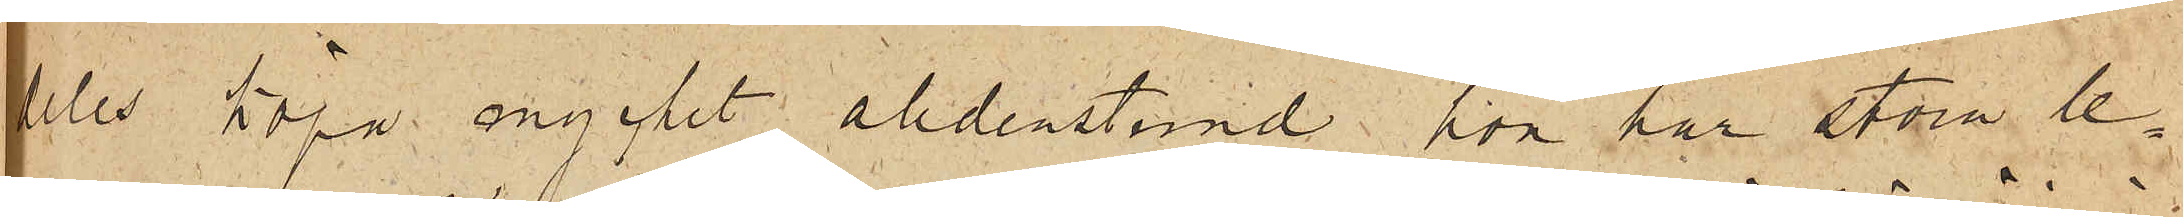deles köpa mycket alldenstund han har stora le¬
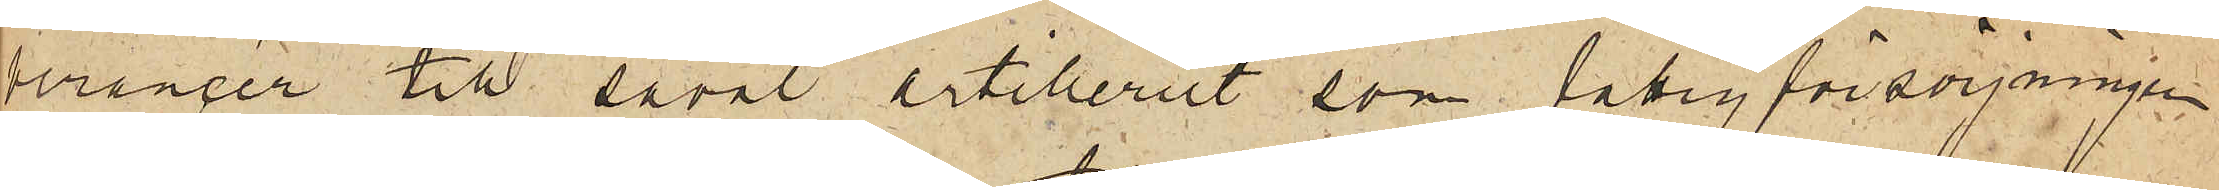verancer till såväl artilleriet som fattigförsörjningen
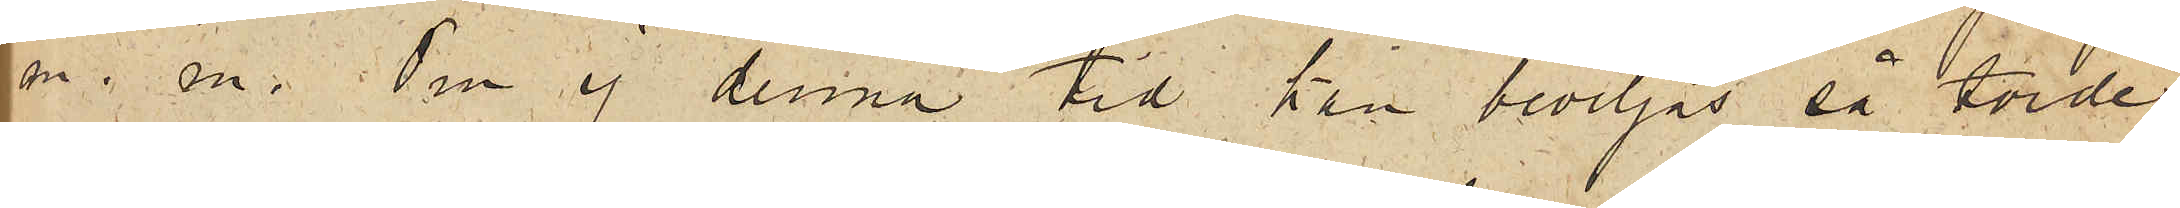m.m. Om ej denna tid han beviljas så torde
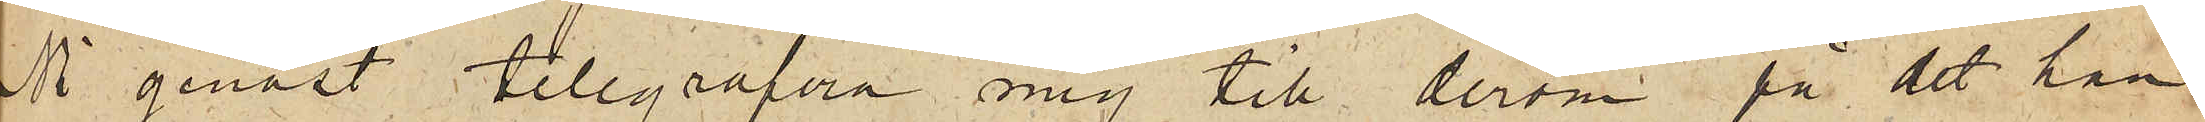Ni genast telegrafera mig till derom, på det han
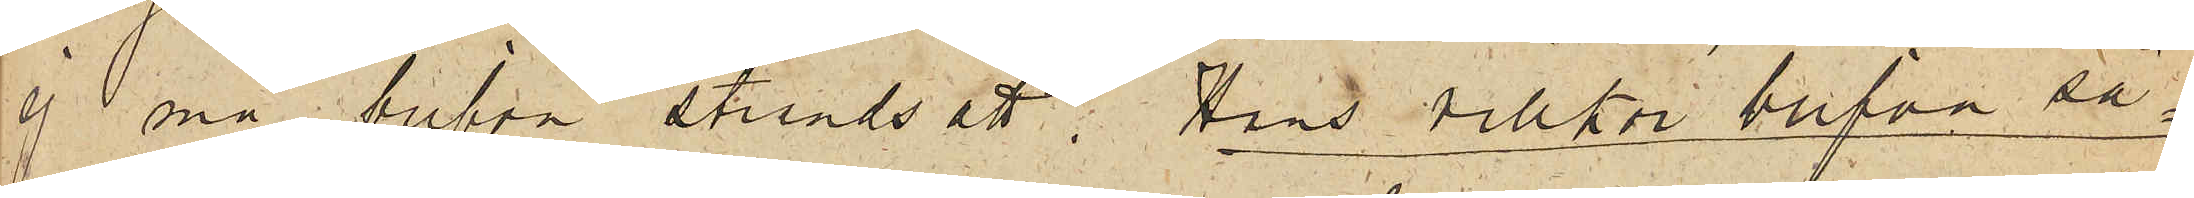ej må blifva strandsatt. Hans villkor blifva så¬
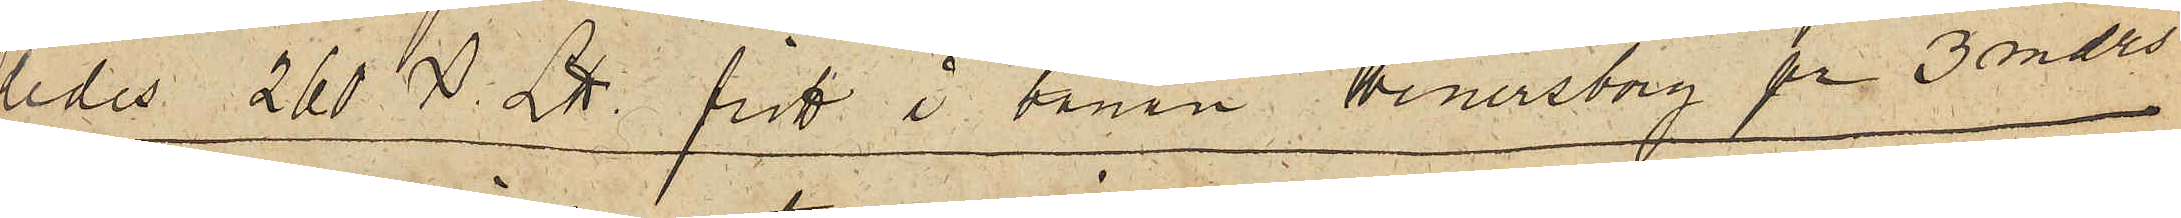ledes 260 L℔ fritt å banan Wenersborg pr 3 mdrs
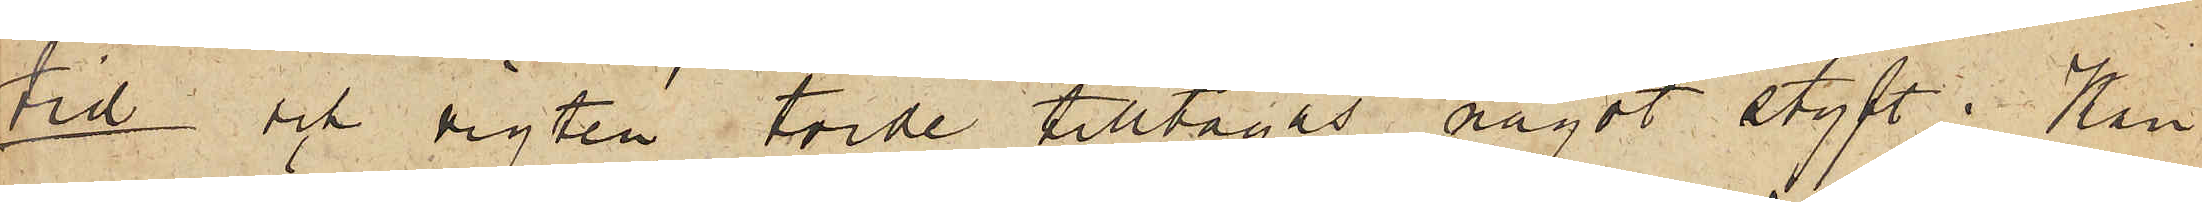tid och vigten torde tilltagas något styft; Kan
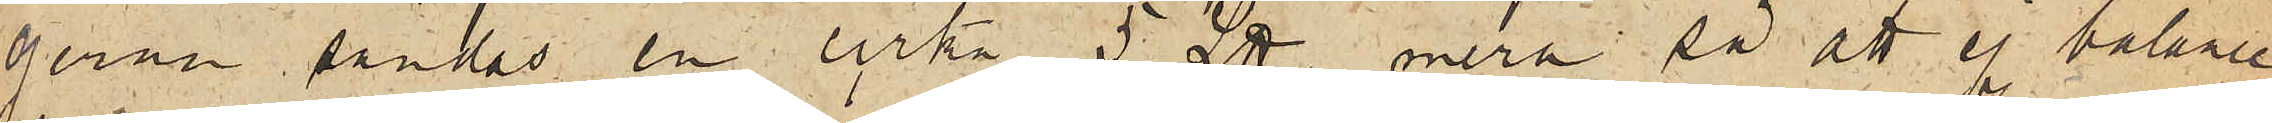gerna sänkas en cirka 5 L℔ mera så att ej balance
